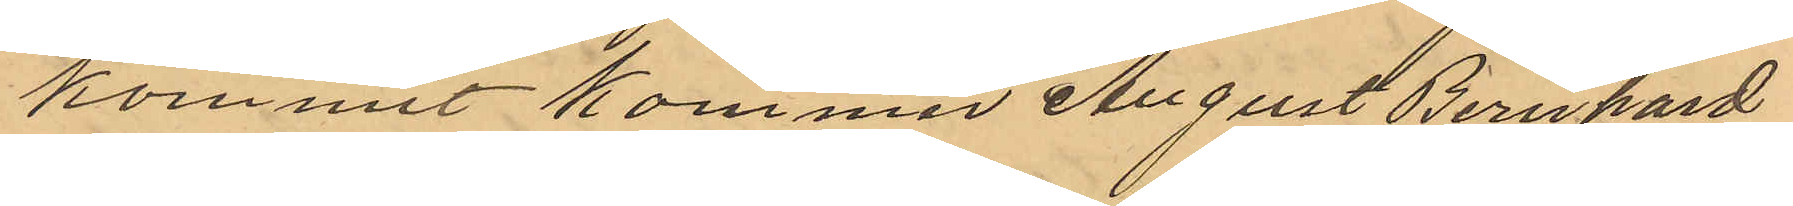kommit kommer August Bernhard
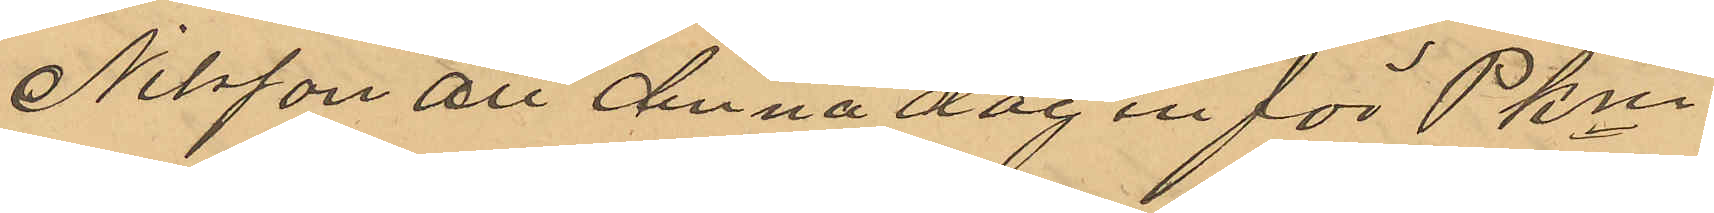Nilsson att denna dag in för PKm
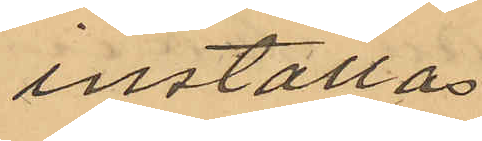inställas.
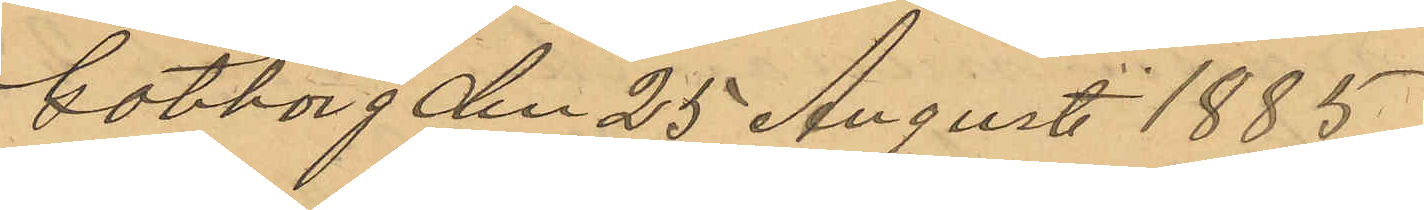Göteborg den 25 Augusti 1885
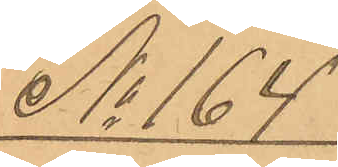No 164
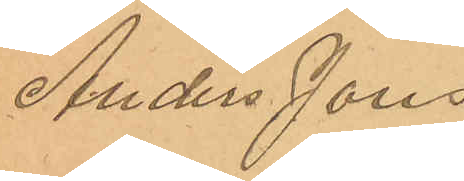Anders Jons¬
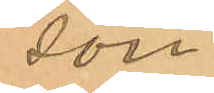son
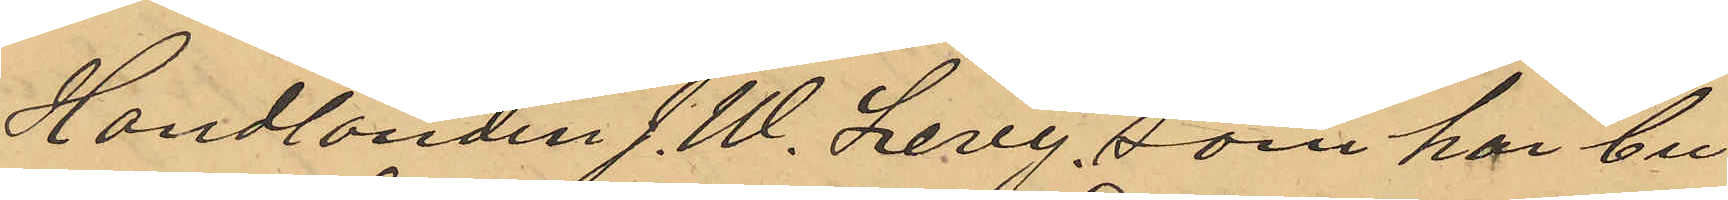Handlanden J. W. Levy, som har bu¬
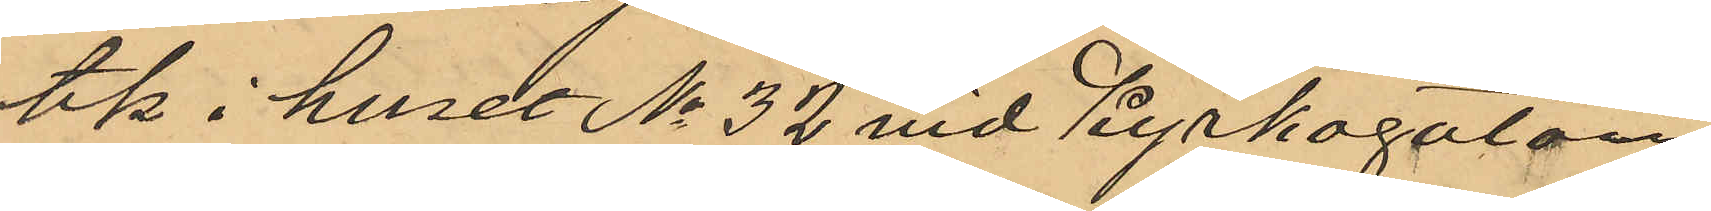tik i huset No 32 vid Kyrkogatan
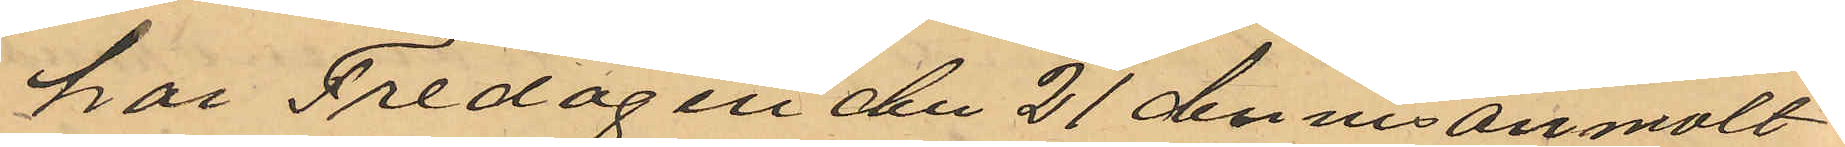har Fredagen den 21 dennes anmält
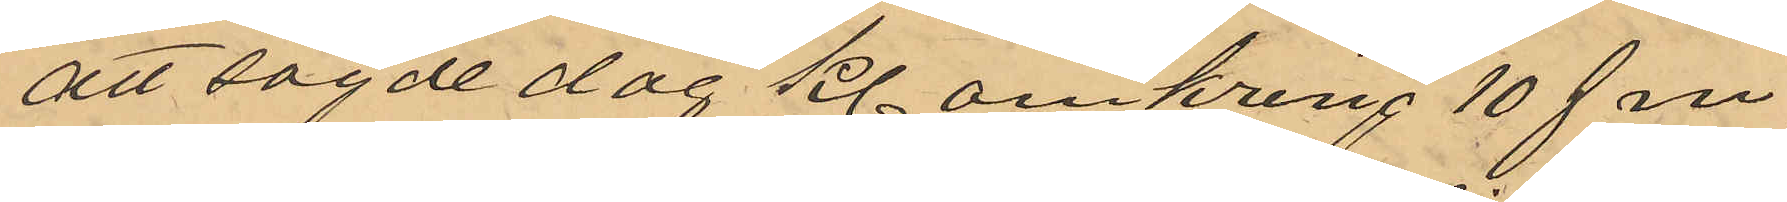att sagde dag kl omkring 10 f m
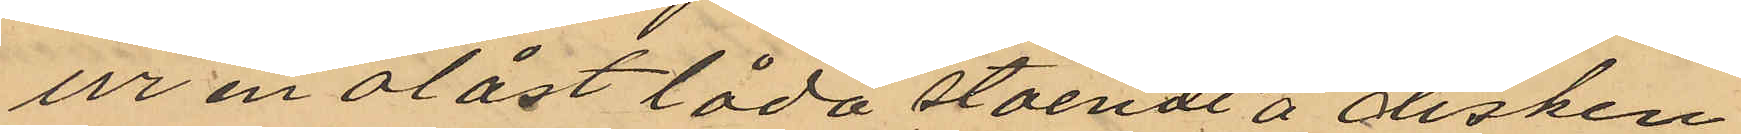ur en olåst låda stående å disken
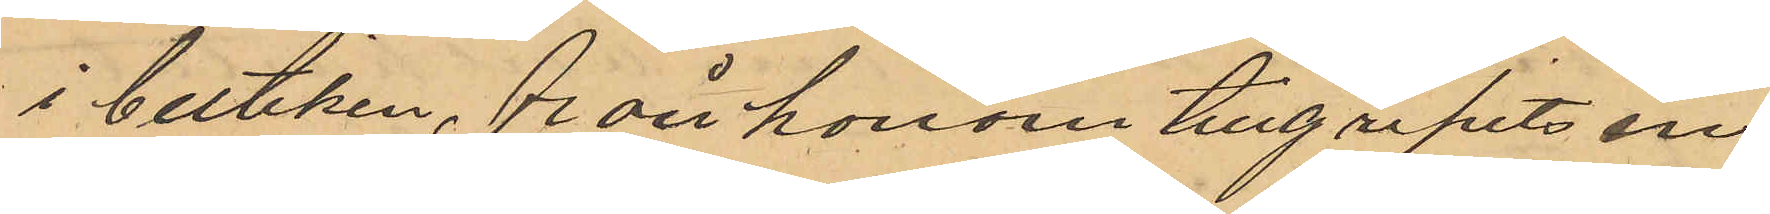i butiken, från honom tillgripits en
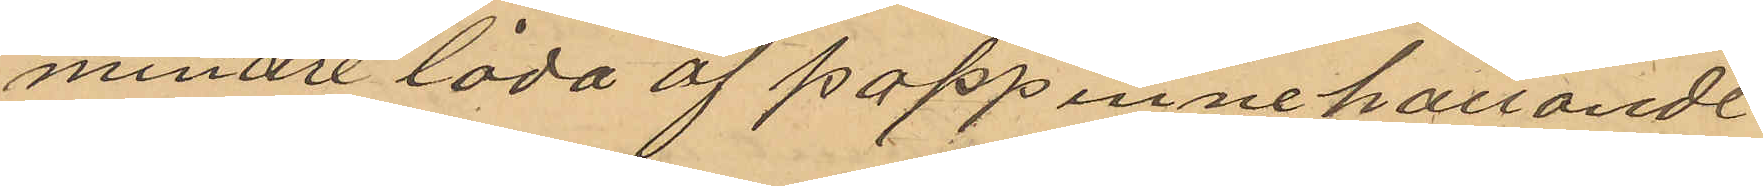mindre låda af papp innehållande
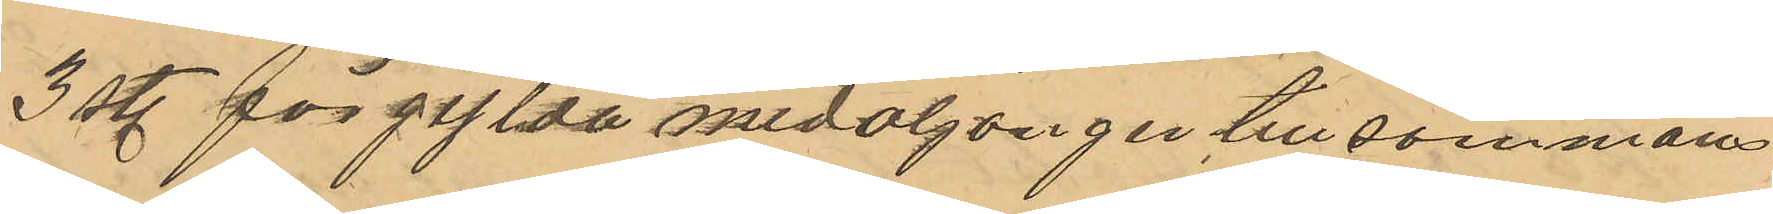3 st. förgylda medaljonger tillsammans
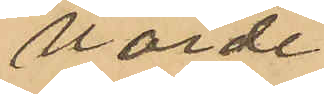värda
